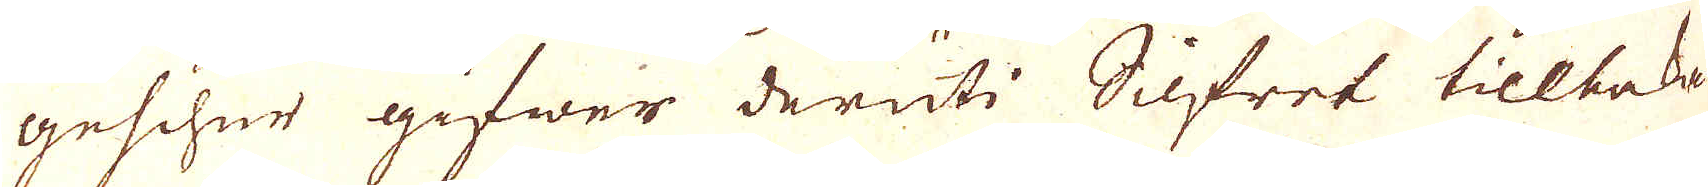geschue gifwer deruti Silfret tillbaka
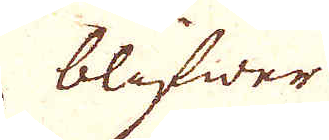blifwer
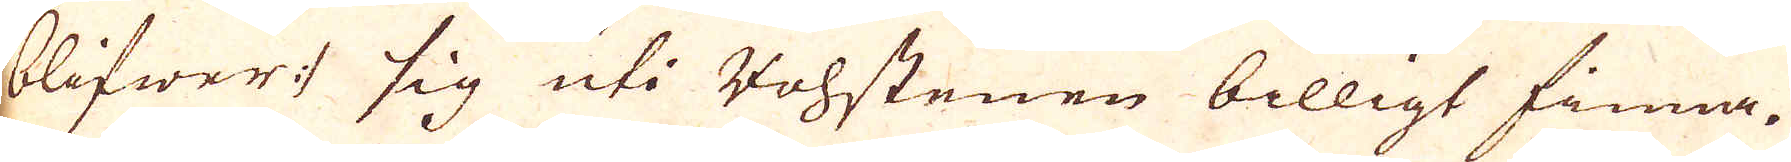blifwers sig uti Bohstenen billigt finna.
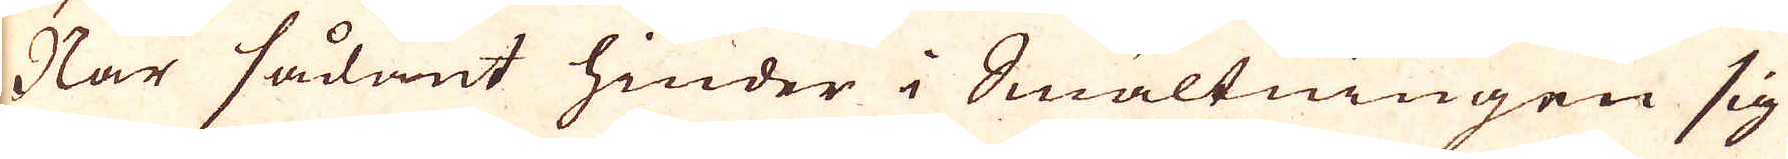När sådant hinder i Smältningen sig
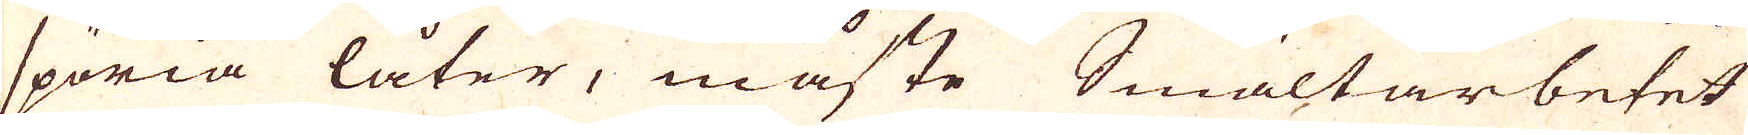spöria låter, måste Smältarbetet
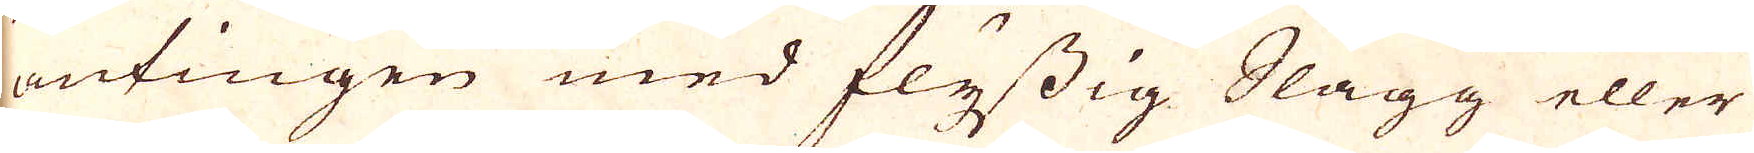antingen med flussig Slagg eller
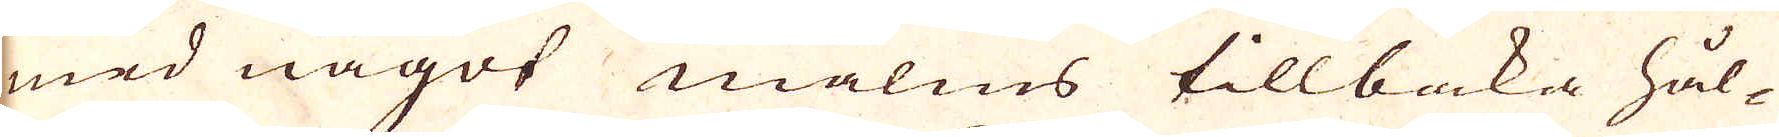med något malms tillbaka hål-
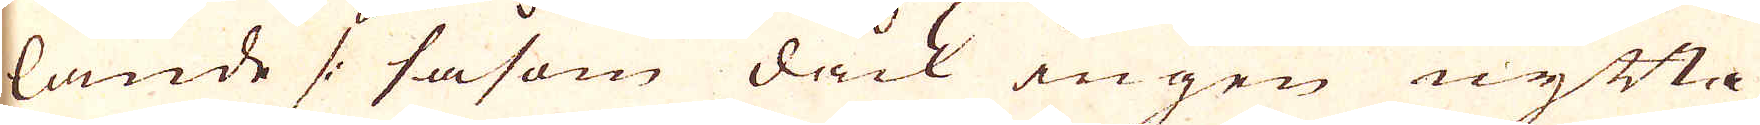lande /: såsom dåck ingen nytta
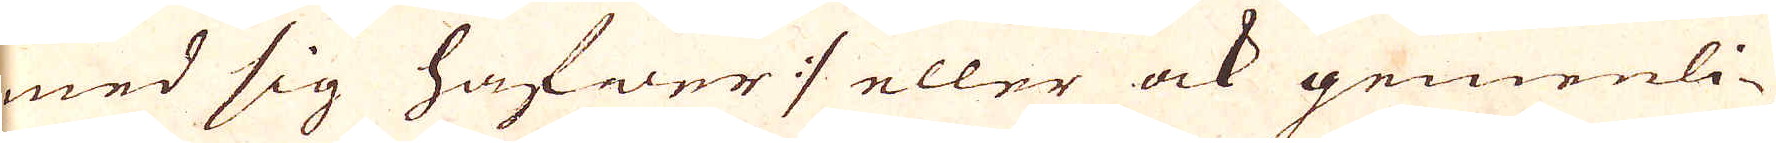med sig hafwer :/ eller ock gemenli-
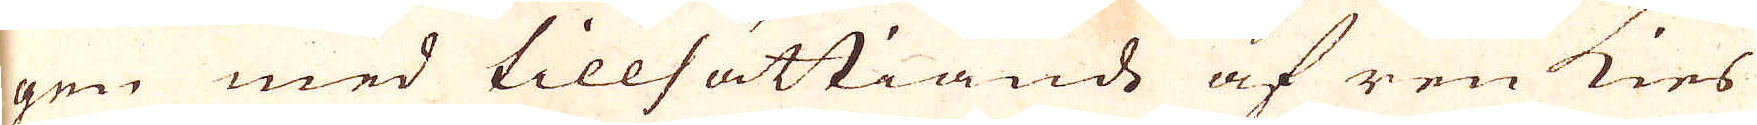gen med tillsättiande af ren kies
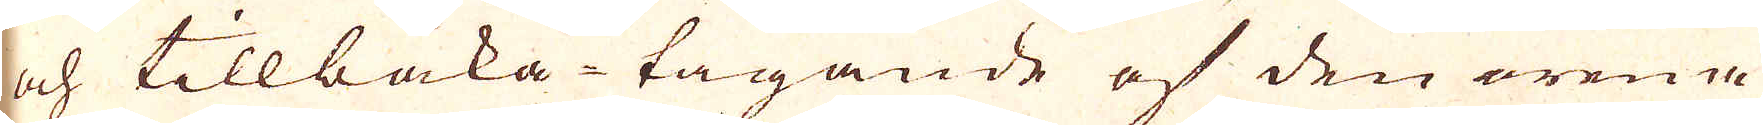och tillbaka tagande af den orena
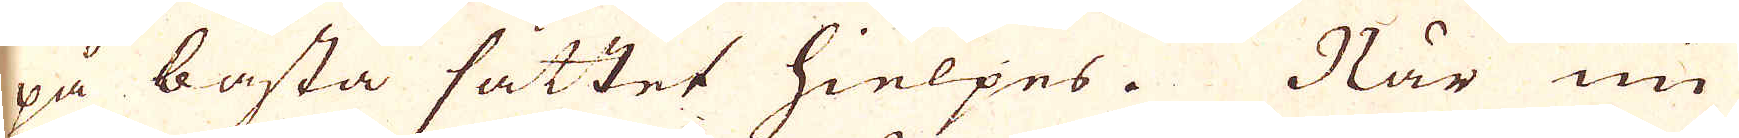på bästa sättet hielpes. När nu
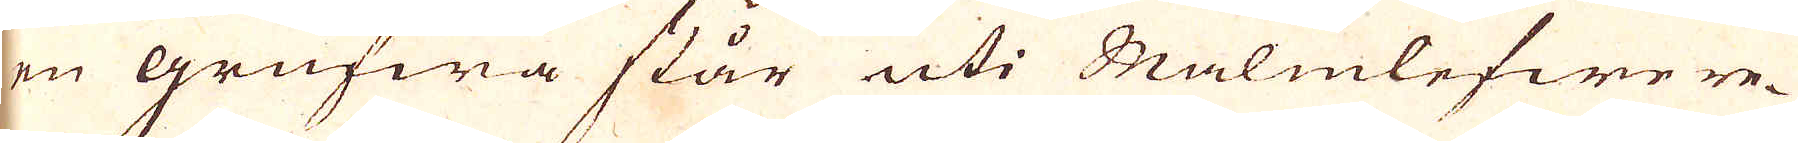en grufwa står uti Malmlefwere-
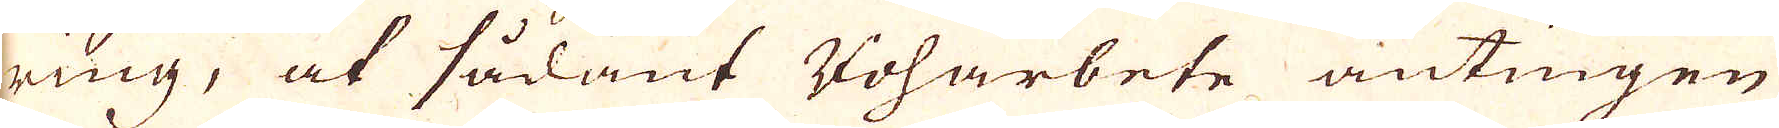ring, at sådant Voharbete antingen
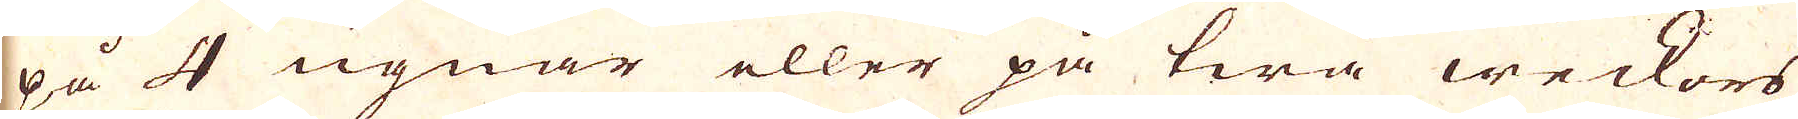på 4 ugnar eller på twå weckors
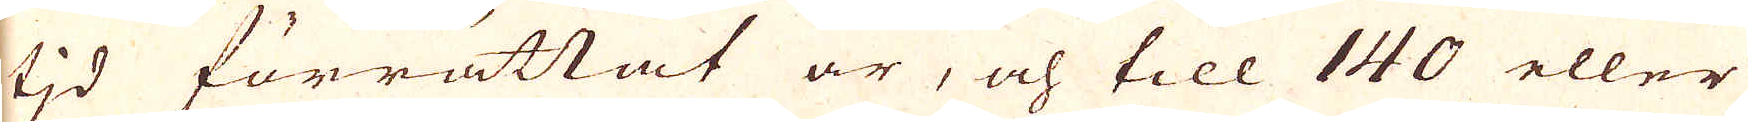tid förrättat är, och till 140 eller
